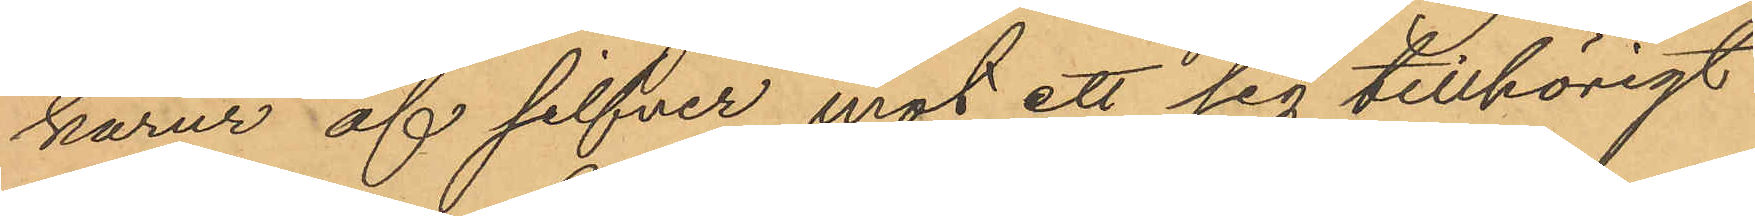karur af silfver mot ett sig tillhörigt
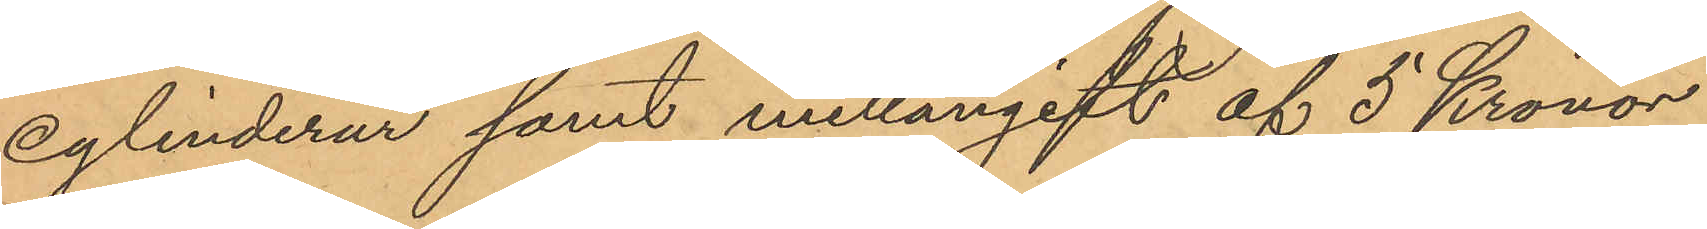cylinderur samt mellangift af 5 Kronor
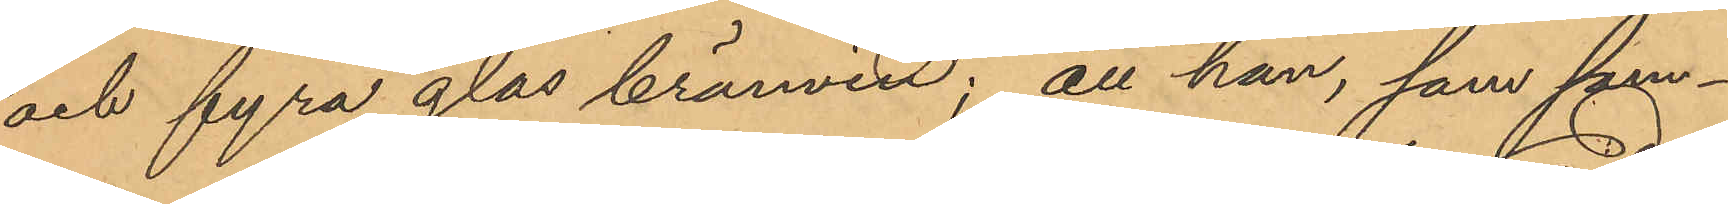och fyra glas bränvin; att han, som sam¬
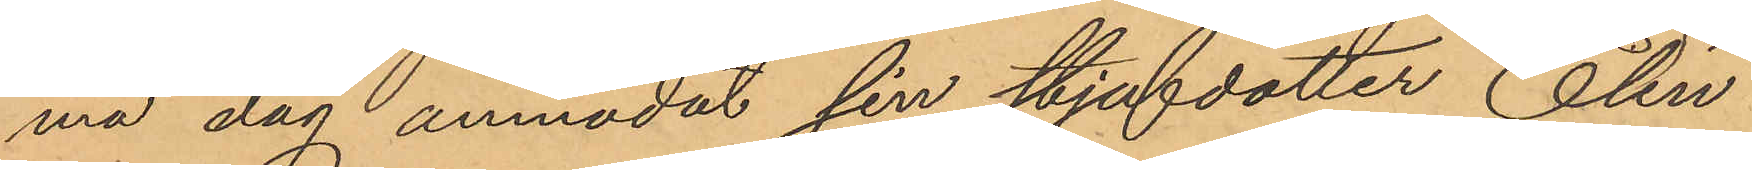ma dag anmodat sin styfdotter Elin
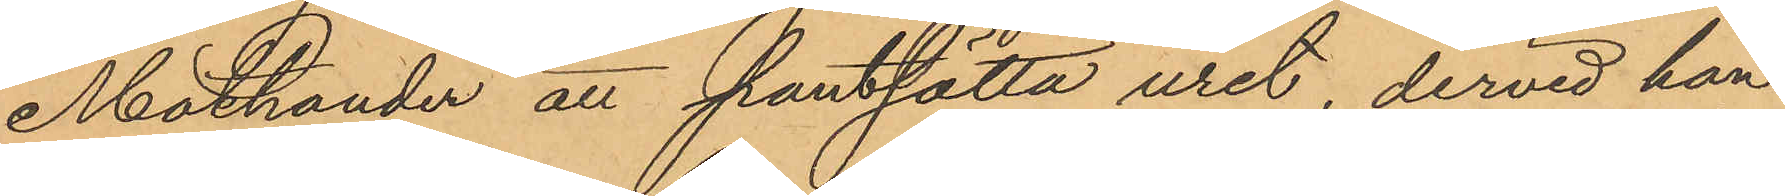Mathander att pantsatta uret, dervid han
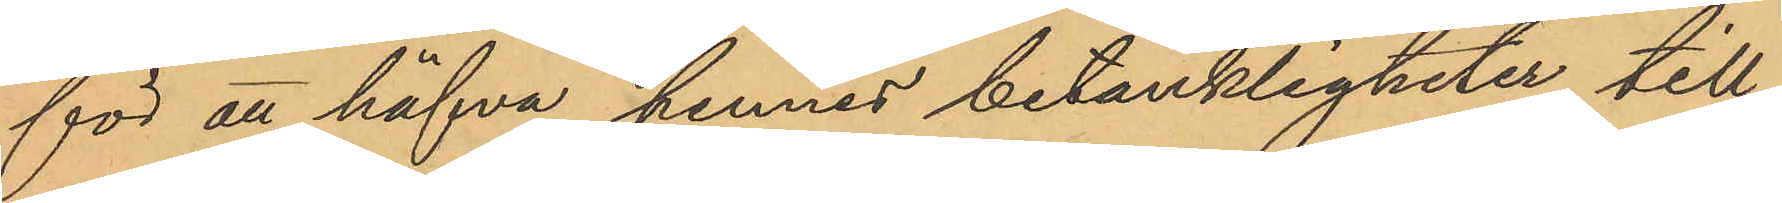för att häfva hennes betänkligheter, till¬
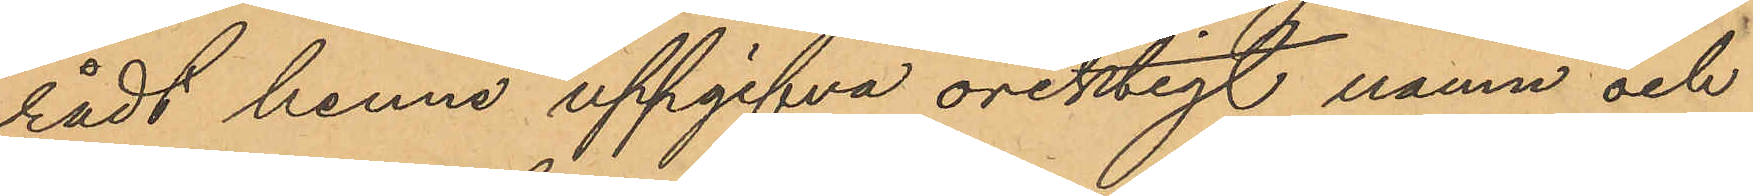rådt henne uppgifva oriktigt namn och
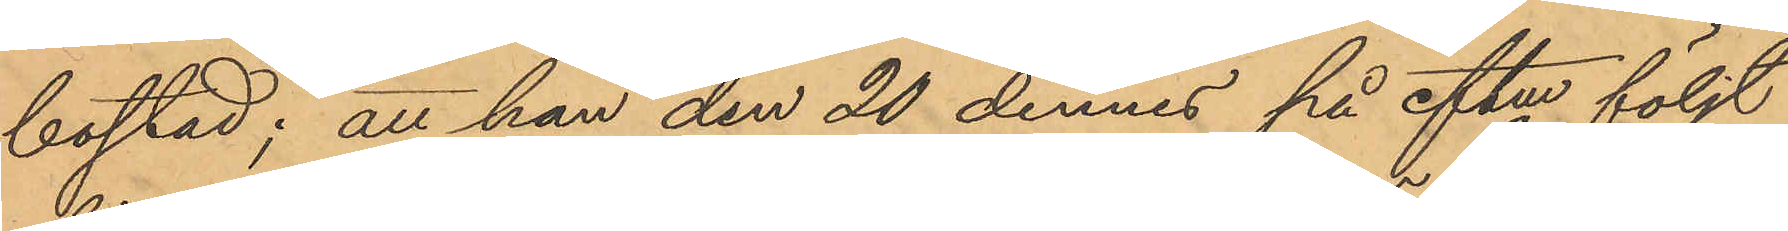bostad; att han den 20 dennes på eftm följt
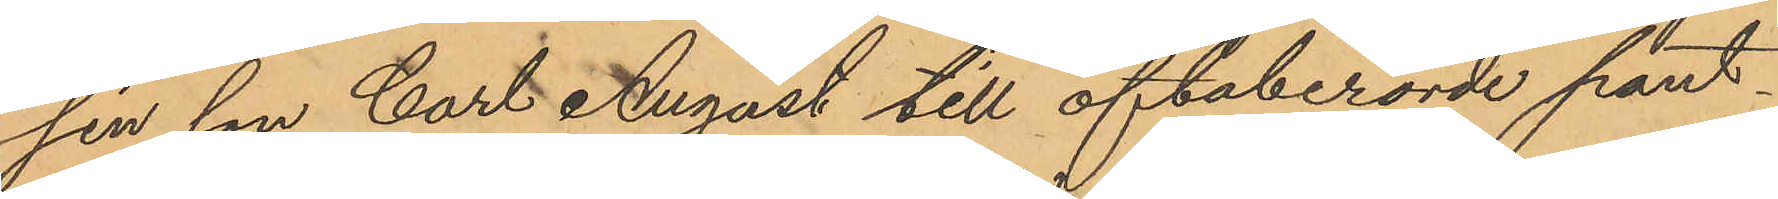sin son Carl August till oftaberörde pant¬
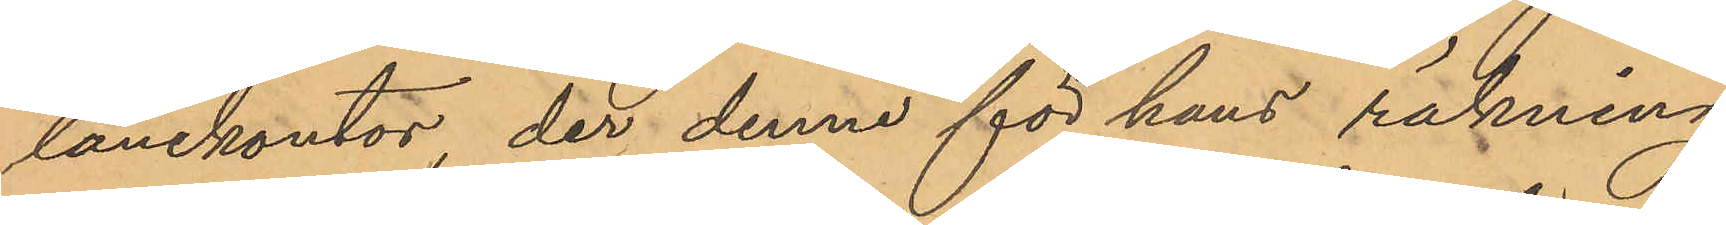lånekontor, der denne för hans räkning
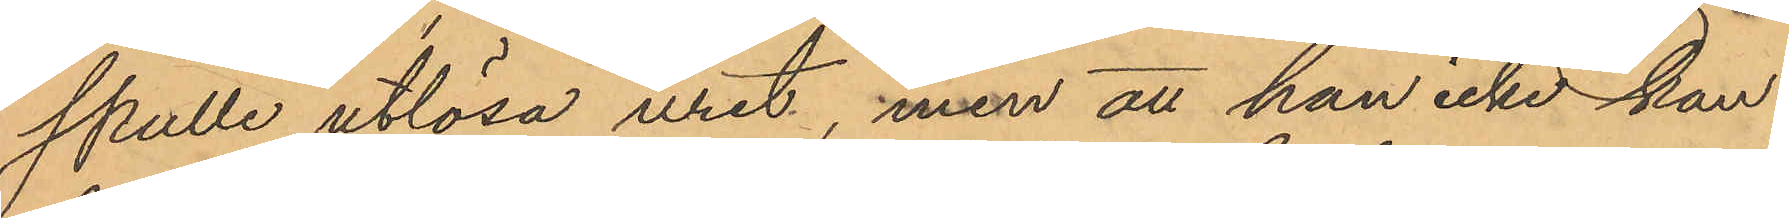skulle utlösa uret, men att han icke kan
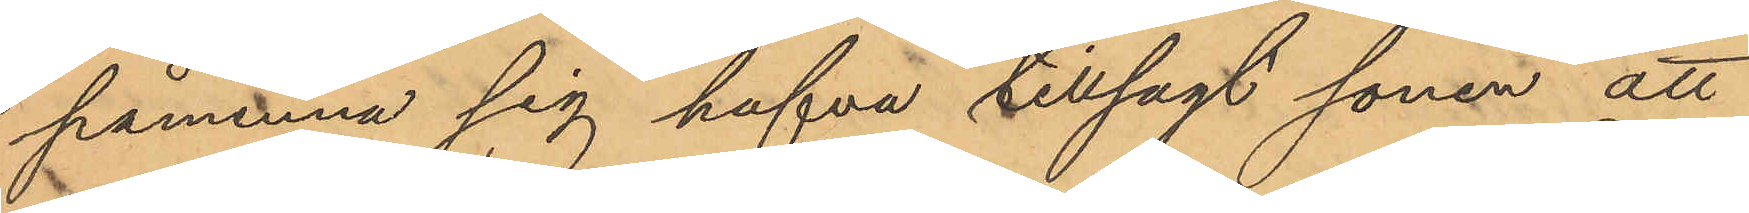påminna sig hafva tillsagt sonen att
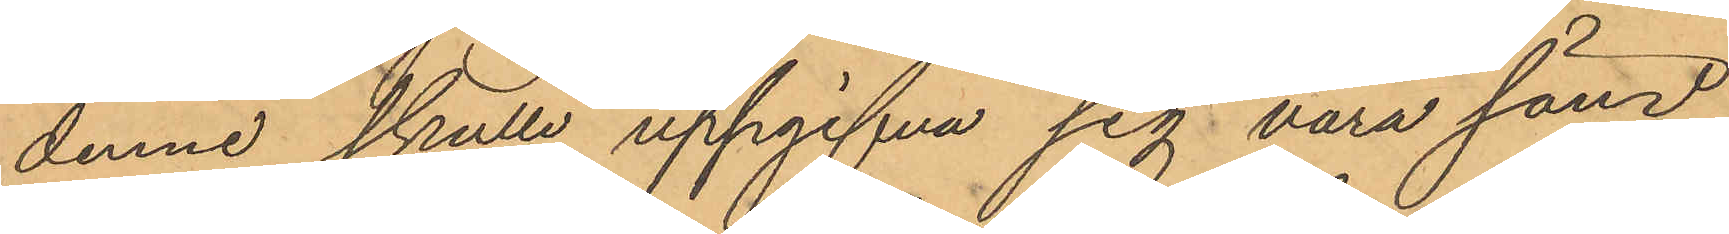denne skulle uppgifva sig vara sänd
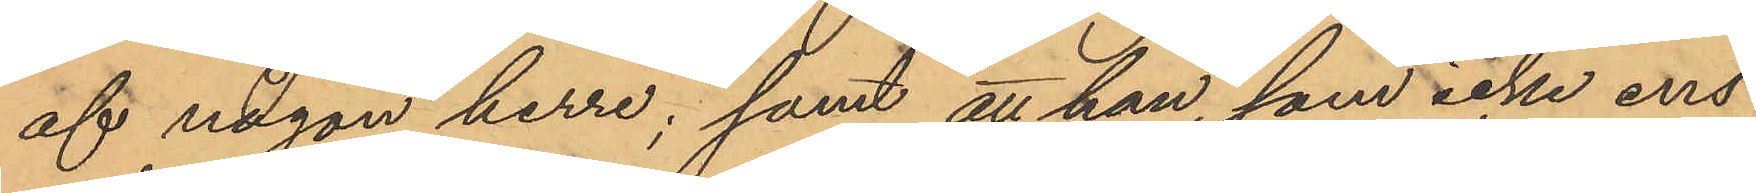af någon herre; samt att han som icke ens
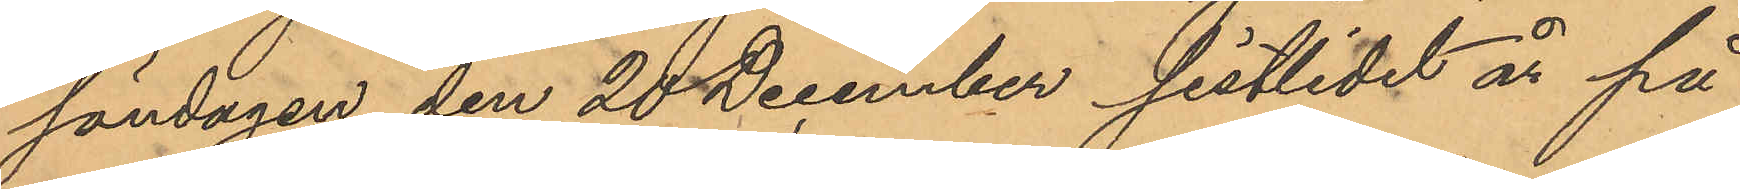söndagen den 20 December sistlide år på
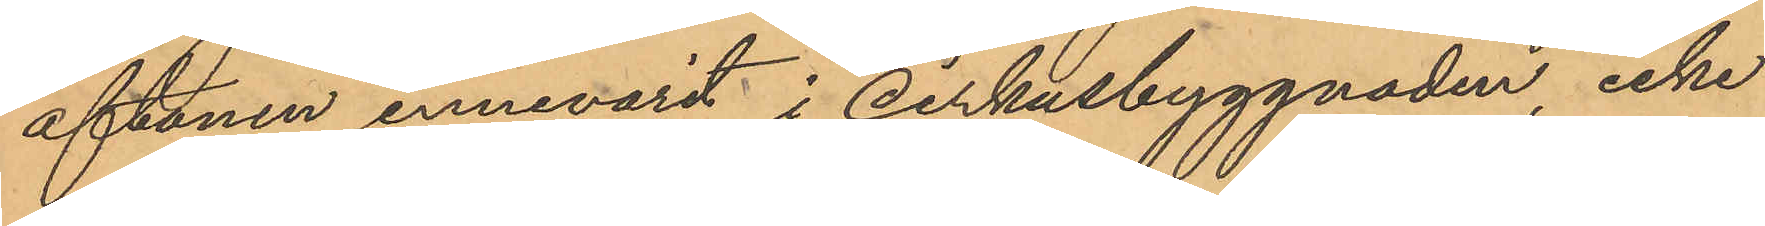aftonen innevarit i cirkusbyggnaden, icke
